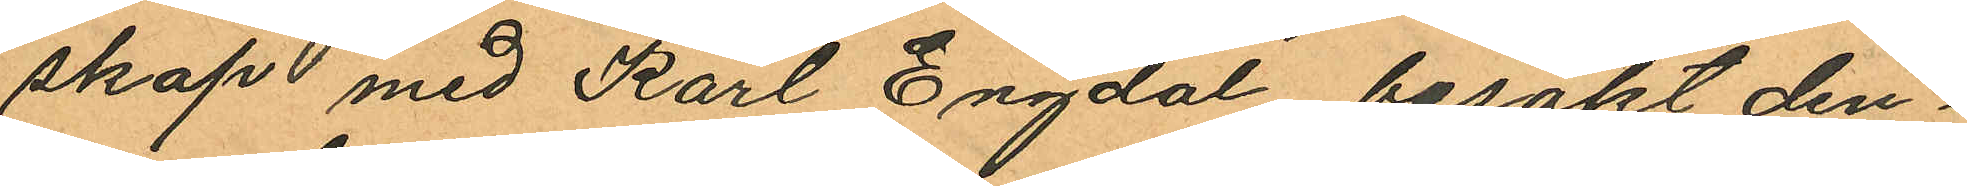skap med Karl Engdal besökt den¬
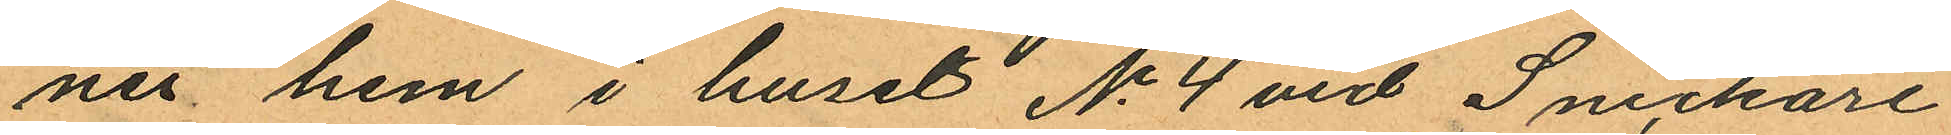nes hem i huset No 4 vid Snickare
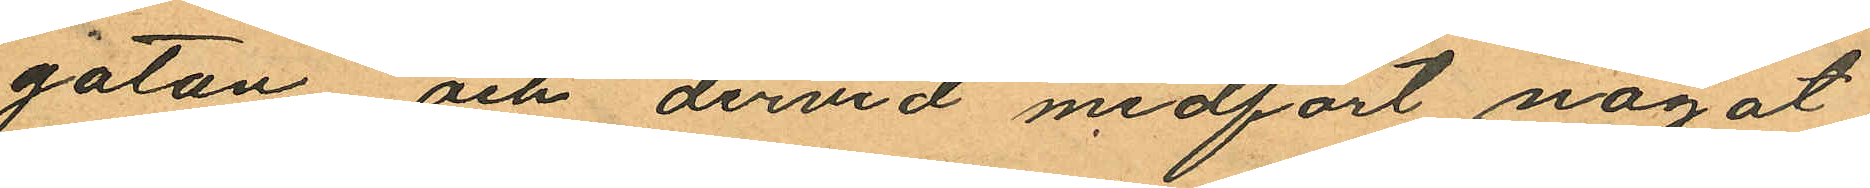gatan och dervid medfört något
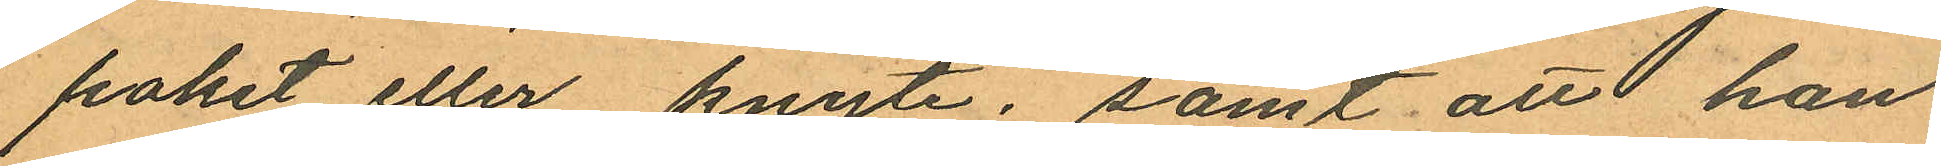paket eller knyte; samt att han
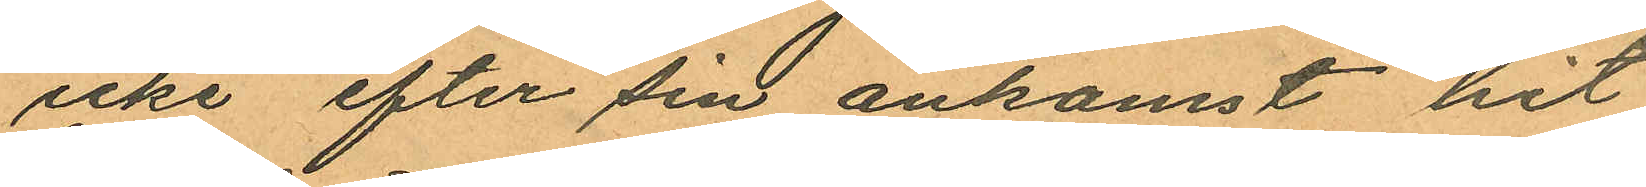icke efter sin ankomst hit
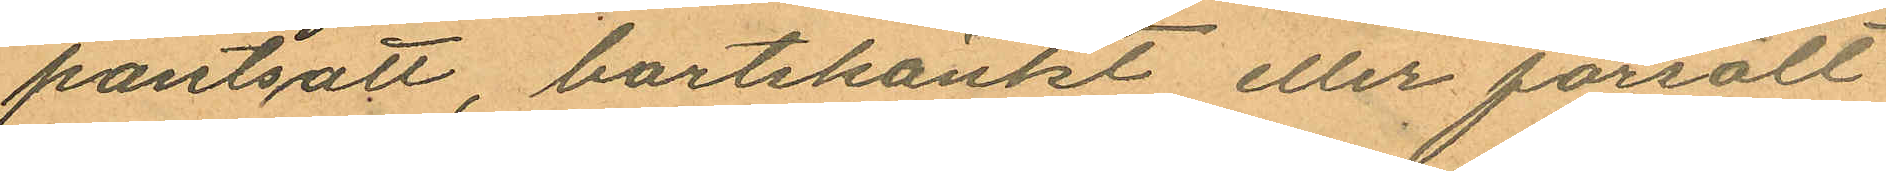pantsatt bortskänkt eller försålt
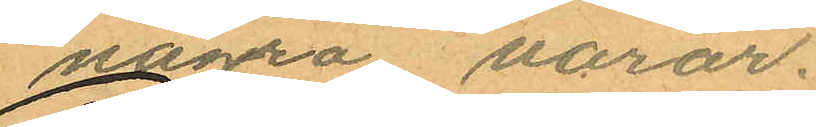några varor.
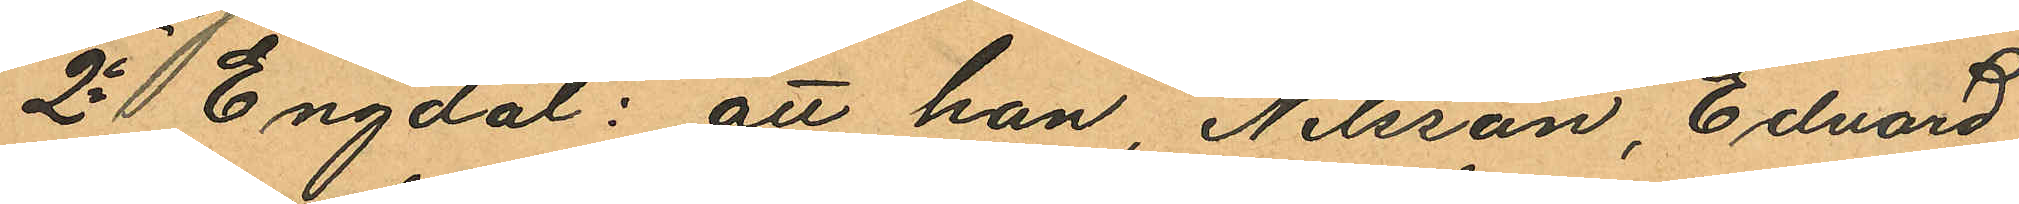2o Engdal: att han, Nilsson, Edvard
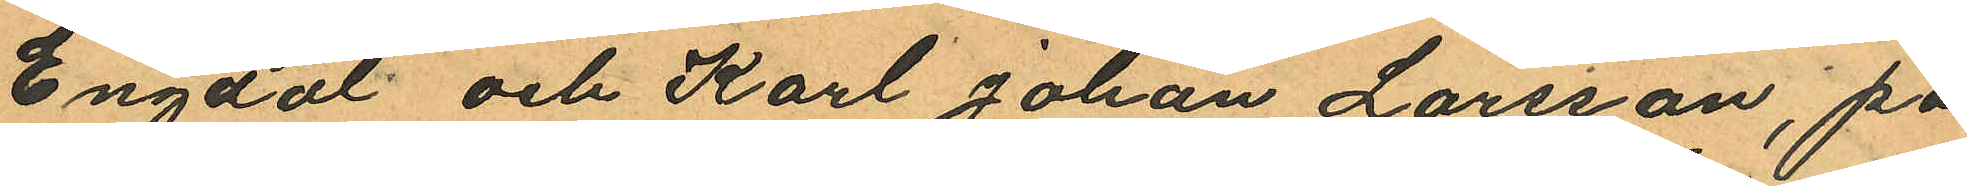Engdal och Karl Johan Larsson, på
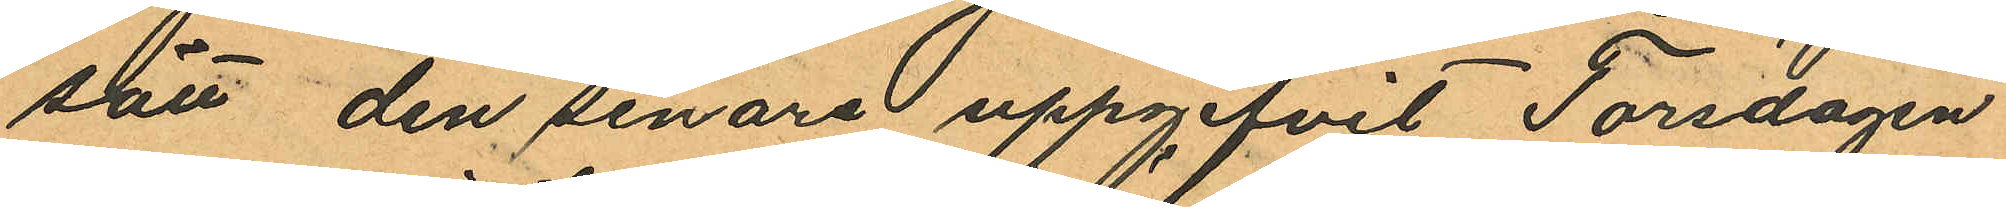sätt den senare uppgifvit Torsdagen
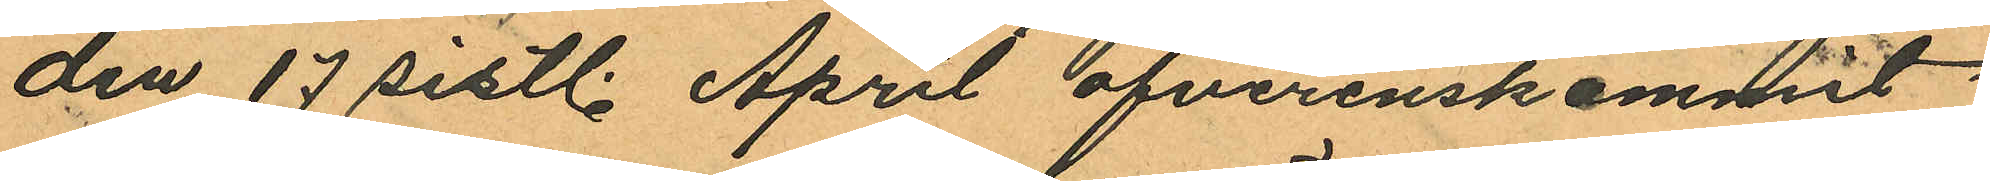den 17 sistl. April öfverenskommit
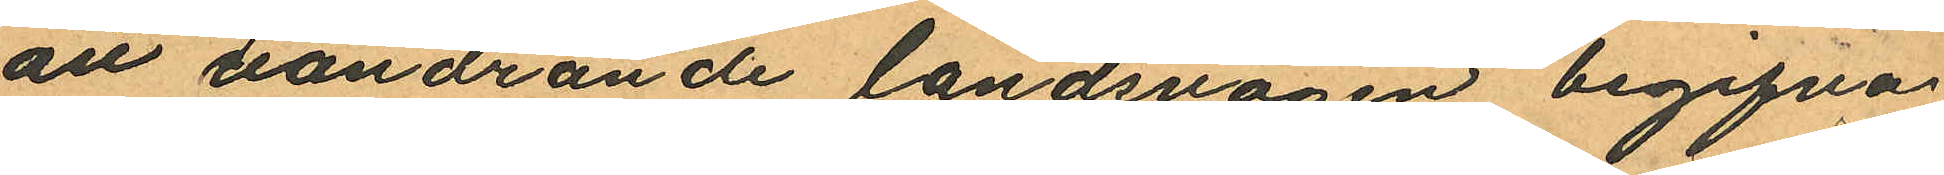änt vandrande landsvägen begifva
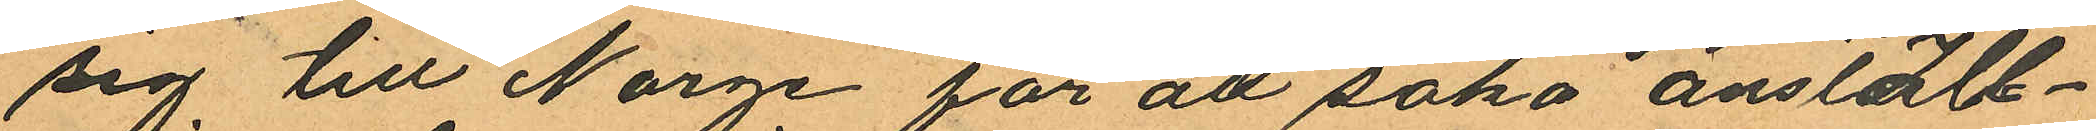sig till Norge för att söka anställ¬
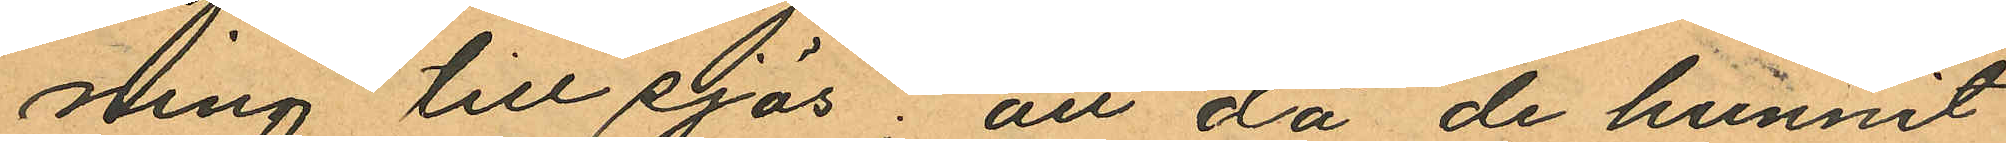ning till sjös; att då de hunnit
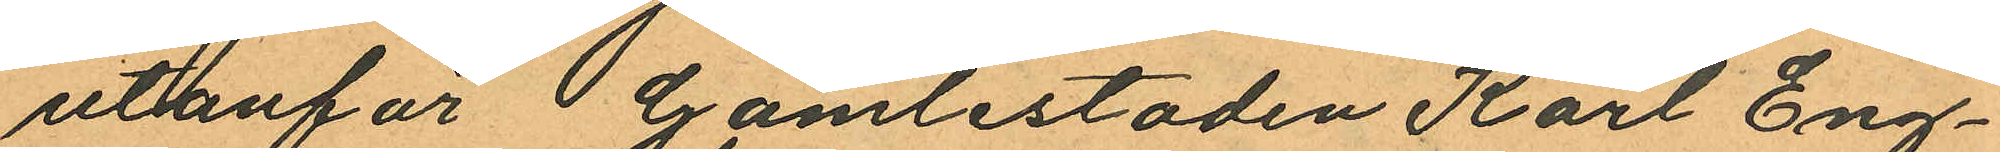utanför Gamlestaden Karl Eng¬
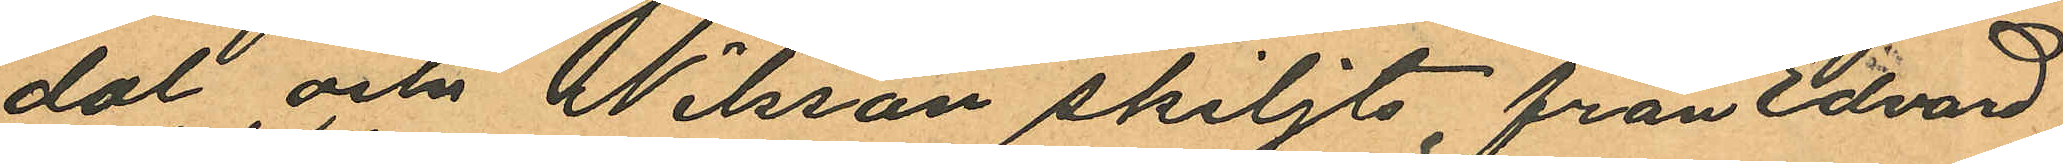dal och Nilsson skiljts från Edvard
